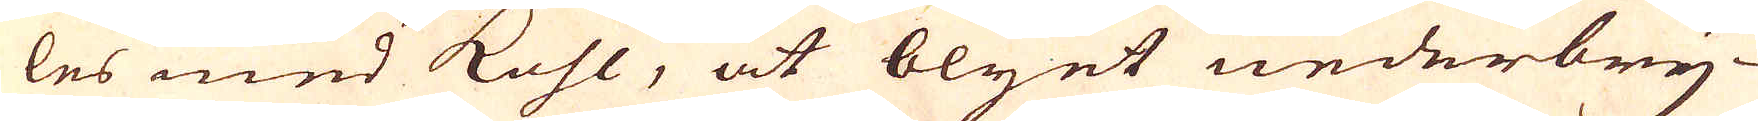les med kohl, at blyet nederbry-
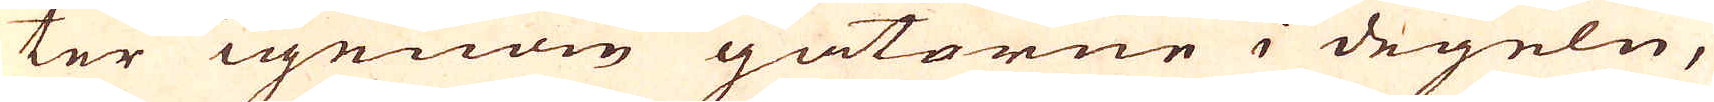ter igenom gatorne i degeln,
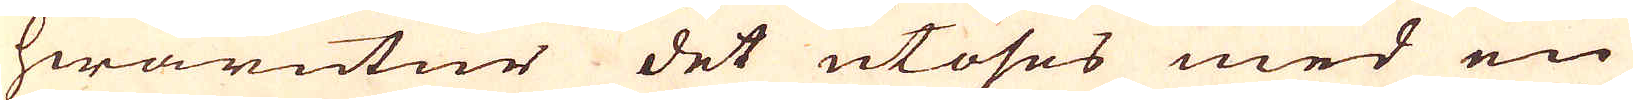hwarutur det utöses med en
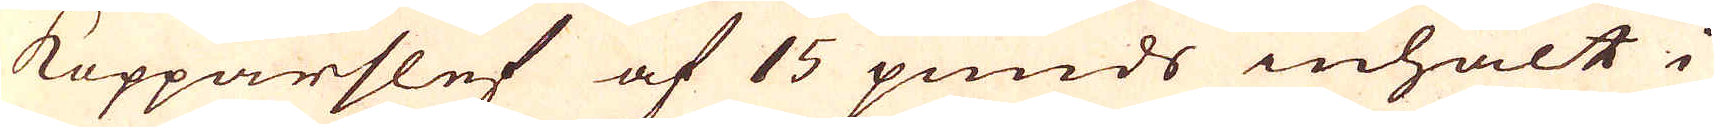kopparslef af 15 punds inhalt i
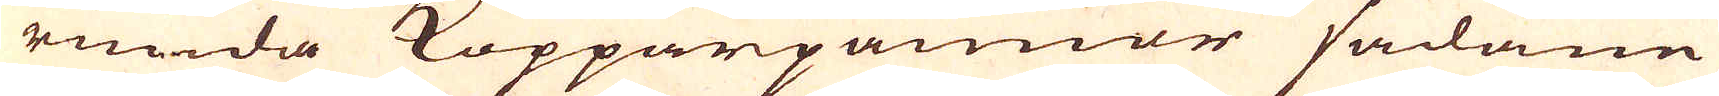runda Kopparpanner sådane
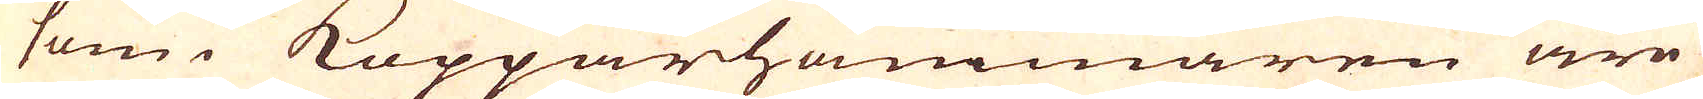som i Kopparhammaren äre
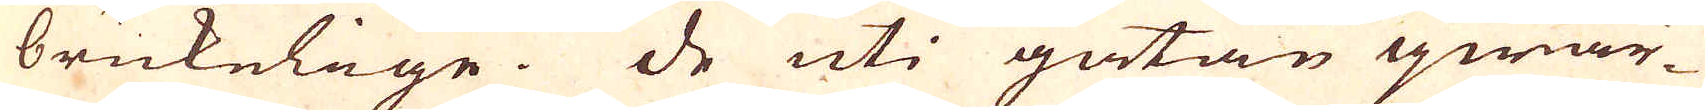brukelige. De uti gatan qwar-
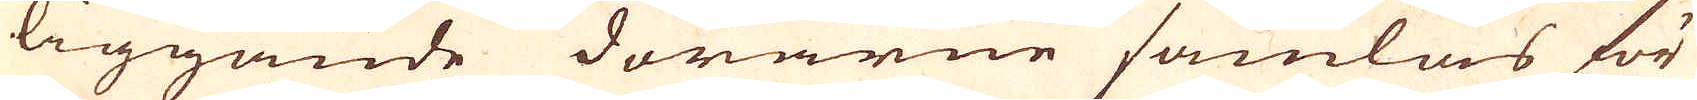liggande dörarne samlas för
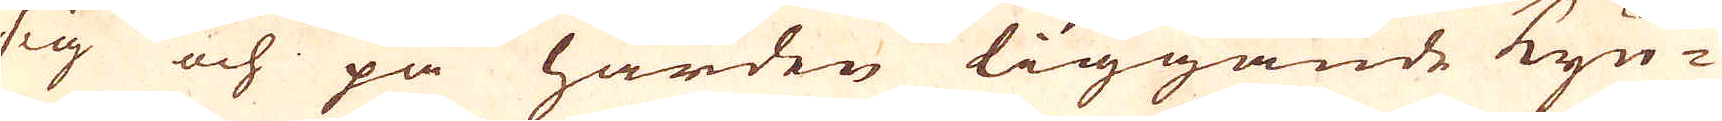sig och på härden liggande kyn-
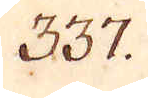337.
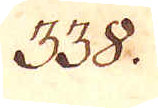338.
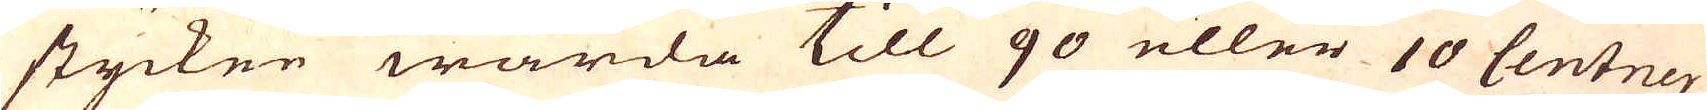stycken warda till 90 eller 10 Centner
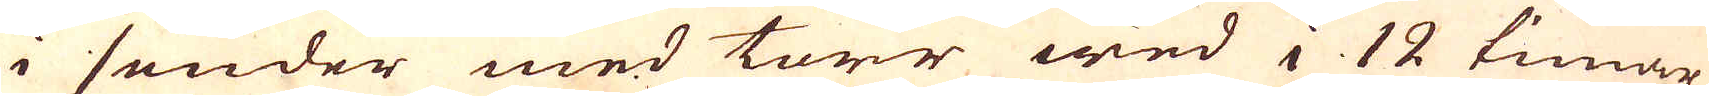i sender med torr wed i 12 timar
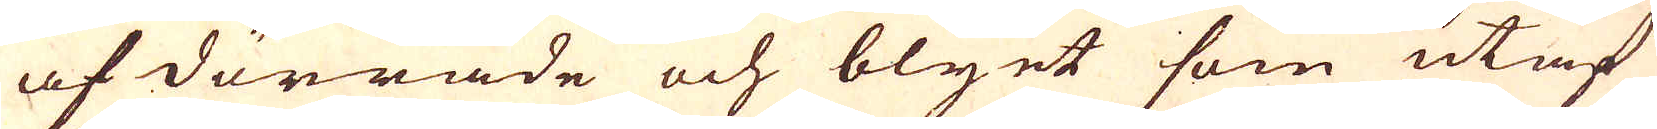af dörrade och blyet som utaf
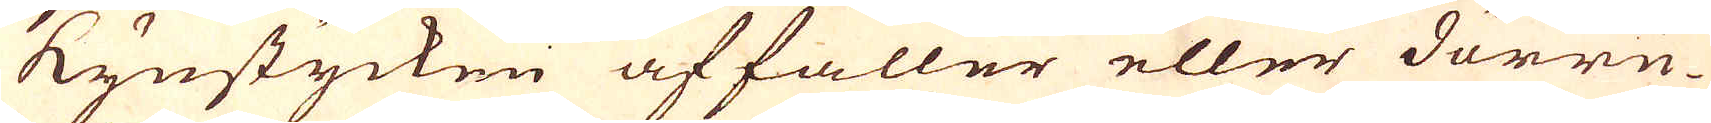kynstycken affaller eller dörru-
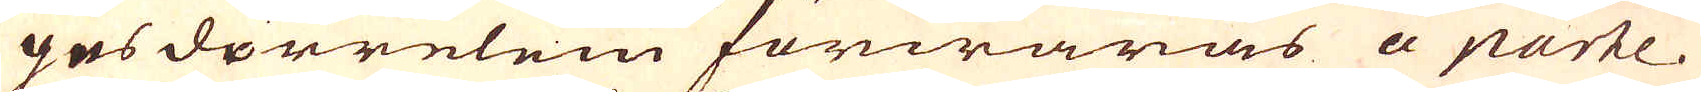gns dörrelein förwaras a parte.
